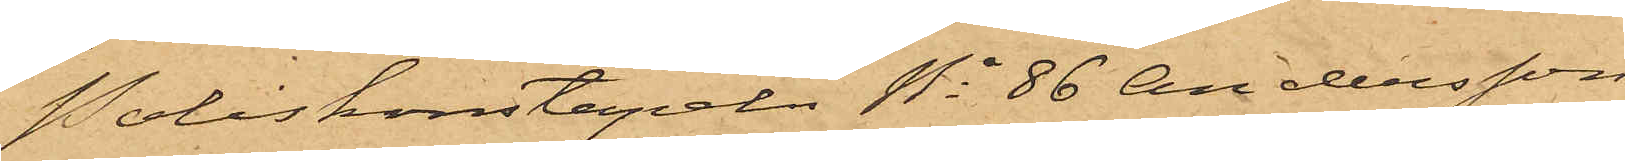Poliskonstapeln No 86 Andersson
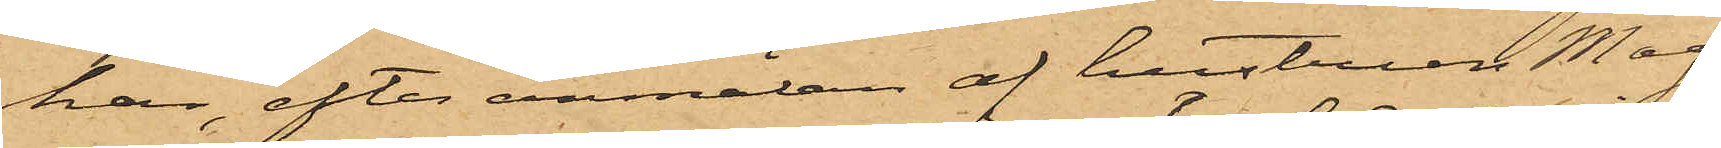har, efter anmälan af hustrun Mag¬
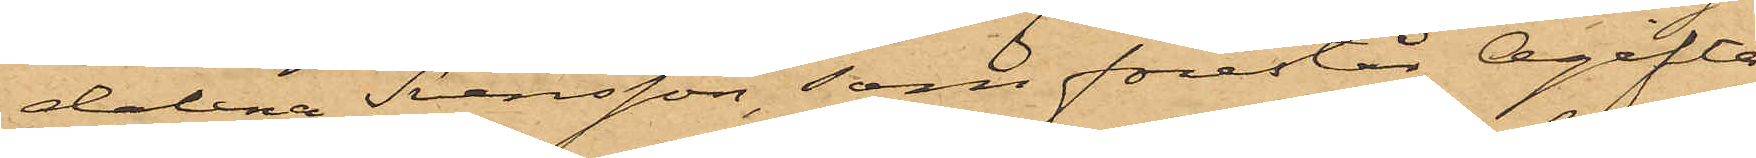dalena Svensson, som förestår Ogifta
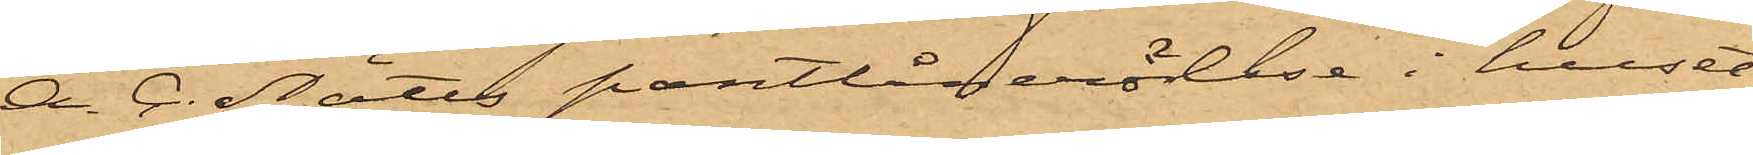A. C. Nätts pantlånerörelse i huset
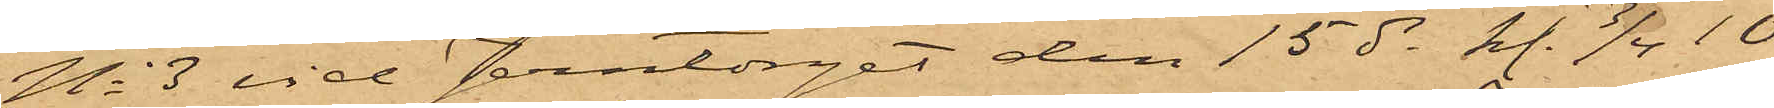No 3 vid Jerntorget den 15 ds kl. 3/4 10
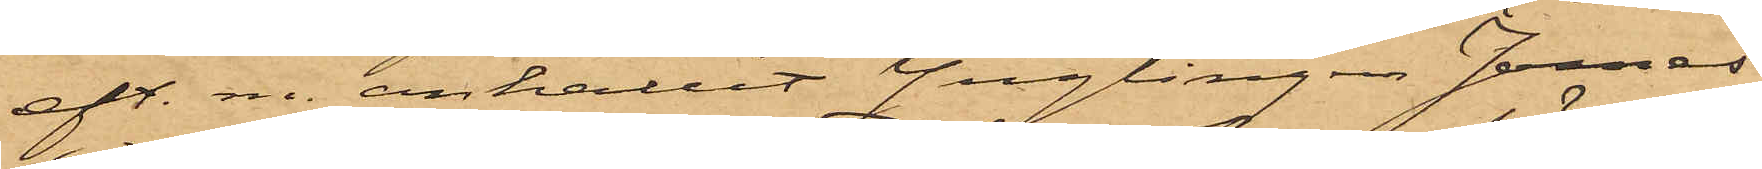eft.m. anhållit Ynglingen James
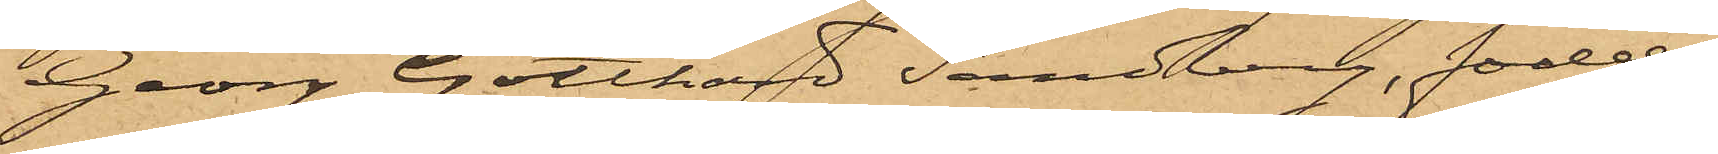Georg Gotthard Sandberg, född
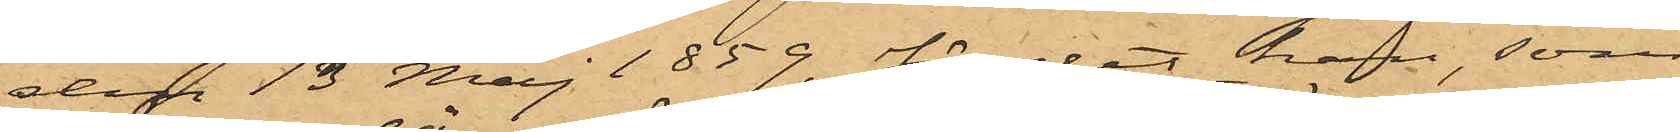den 13 Maj 1859, för det han, som
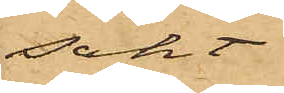sökt
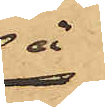å
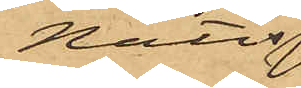Nätts
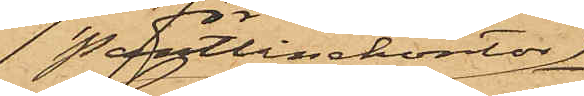 Pantlånekontor
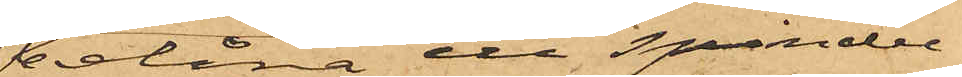belåna ett spindel¬
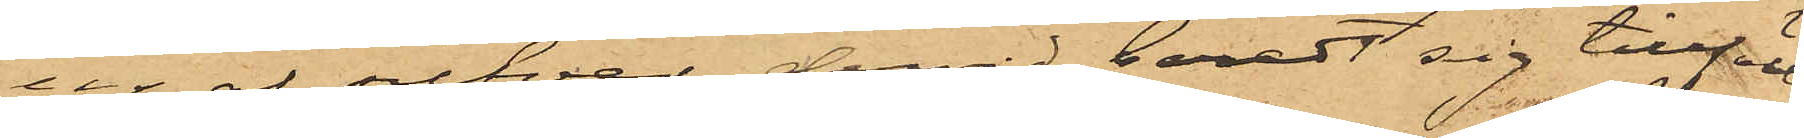ur af silfver, dervid beredt sig tillfälle
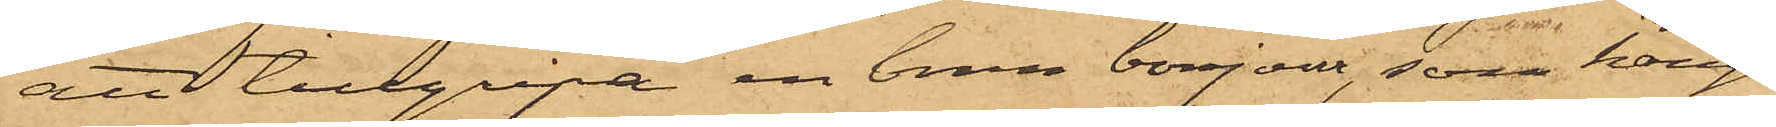att tillgripa en brun bonjour, som hängt
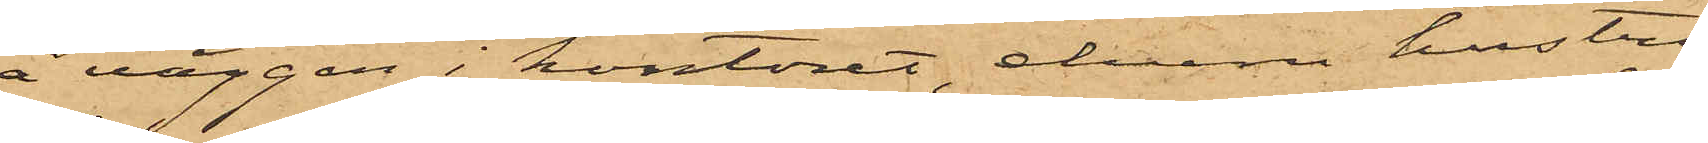å väggen i kontoret, ehuru hustru
